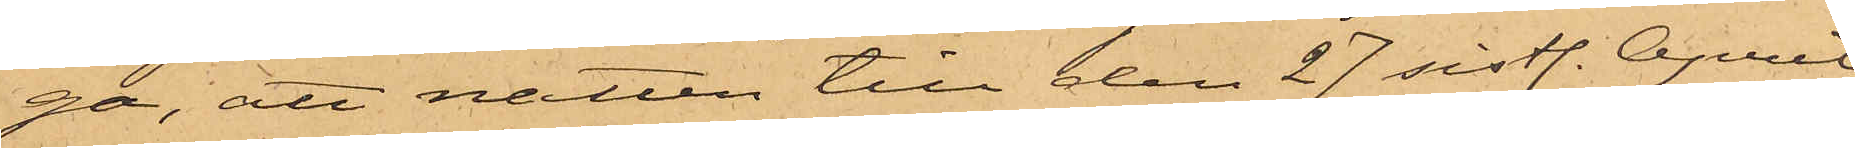ga, att natten till den 27 sistl. April
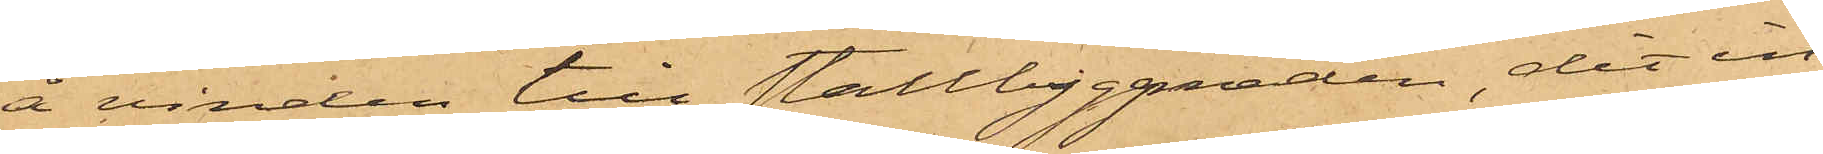å vinden till stallbyggnaden, dit in¬
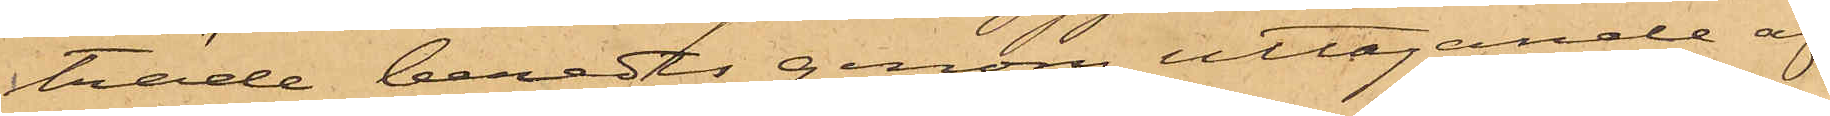träde beredts genom uttagande af
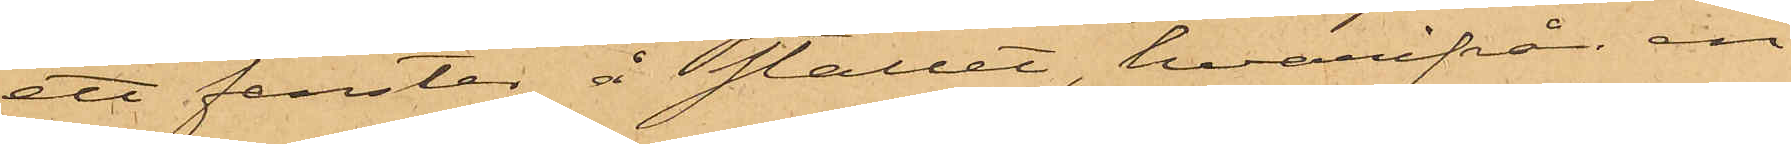ett fenster å stallet, hvarifrån en
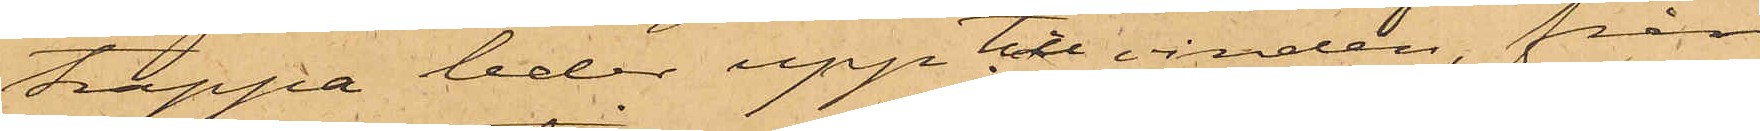trappa leder upp till vinden, från
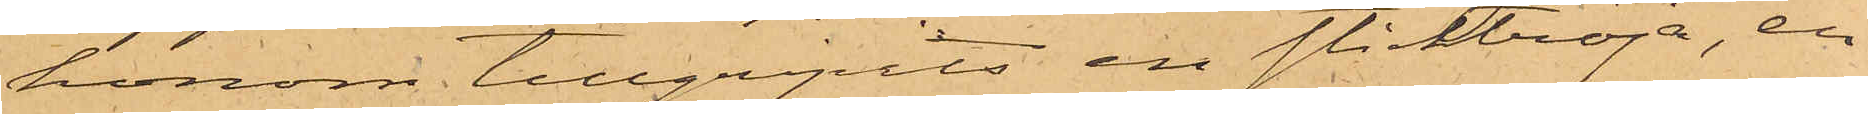honom tillgripits en sticktröja, en
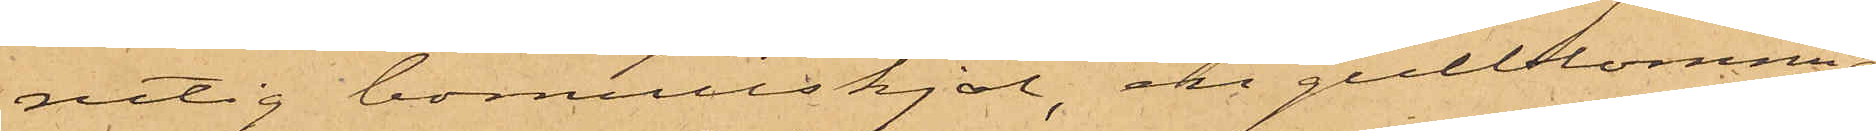rutig bomullskjol, en gulblommig
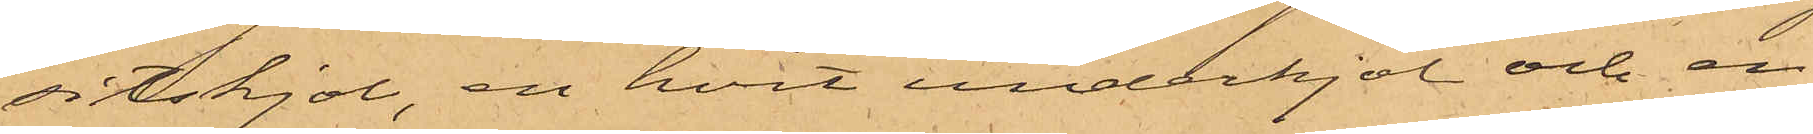sitskjol, en hvit underkjol och en
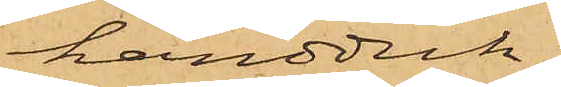handduk;
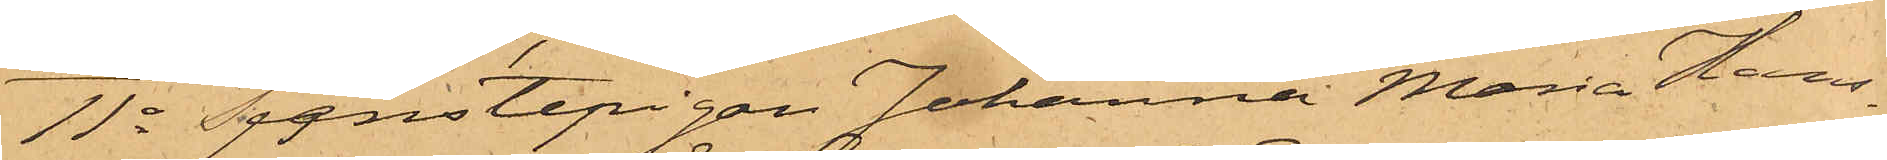11o Tjenstepigan Johanna Maria Hans¬
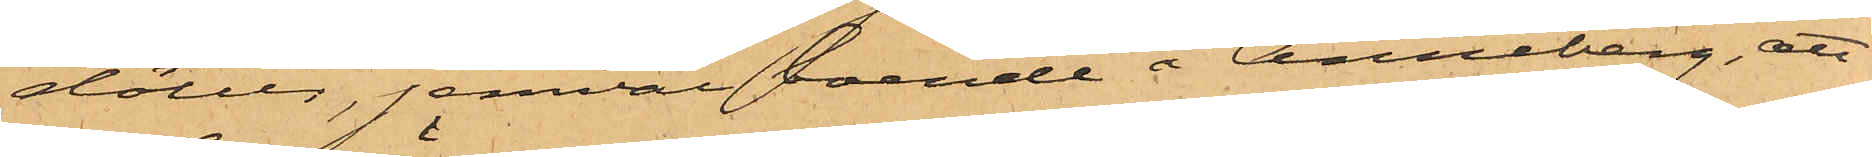dotter, jemväl boende å Anneberg, att
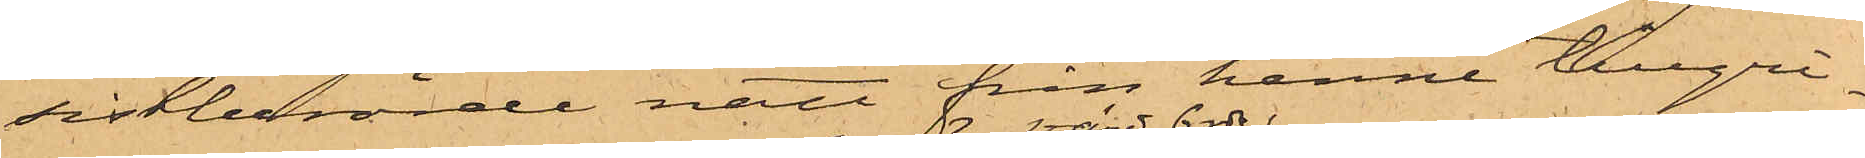sistberörde natt från henne tillgri¬
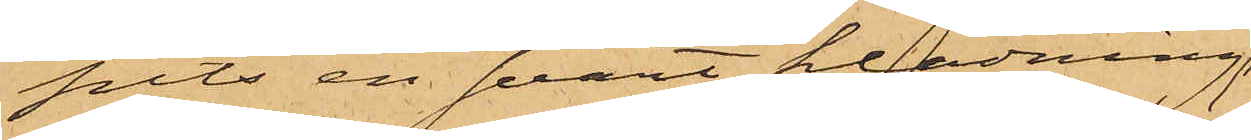pits en svart klädning;
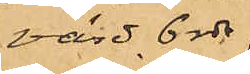värd 6 rdr,
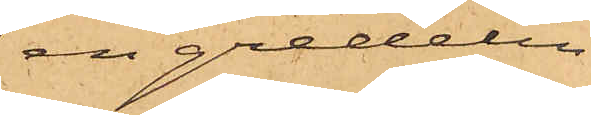en gredelin
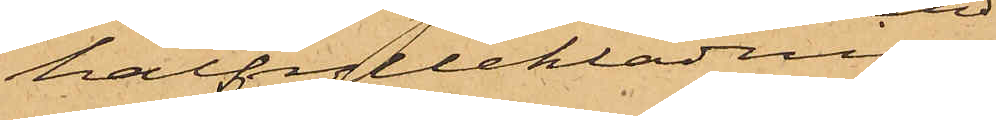halfylleklädning
